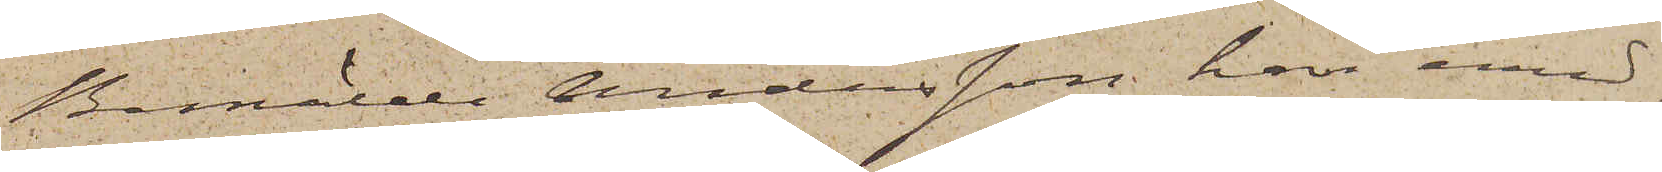Bemälde Andersson har emed¬
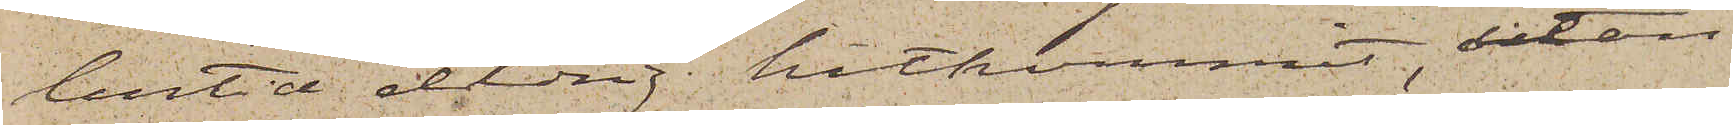lertid aldig hitkommit, utan
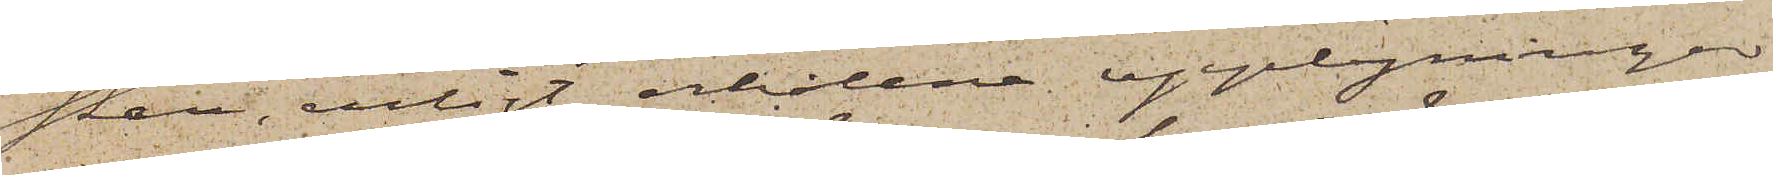skall, enligt erhållna upplysningar
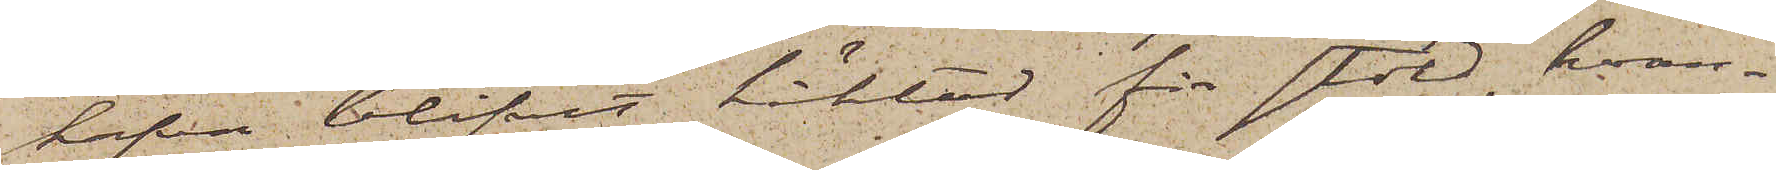hafva blifvit häktad för stöld, hvar¬
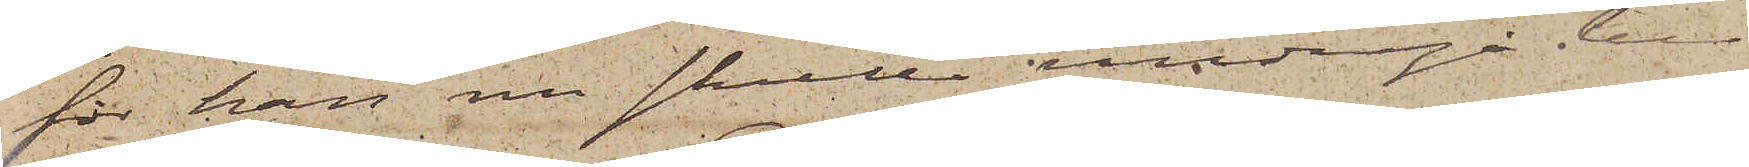för han nu skulle undergå be¬
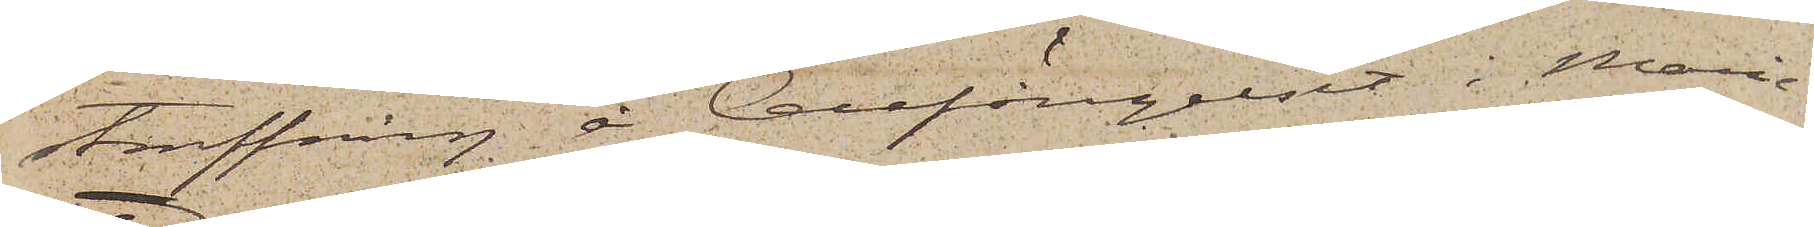straffning å Cellfängelset i Marie¬
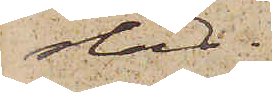stad.
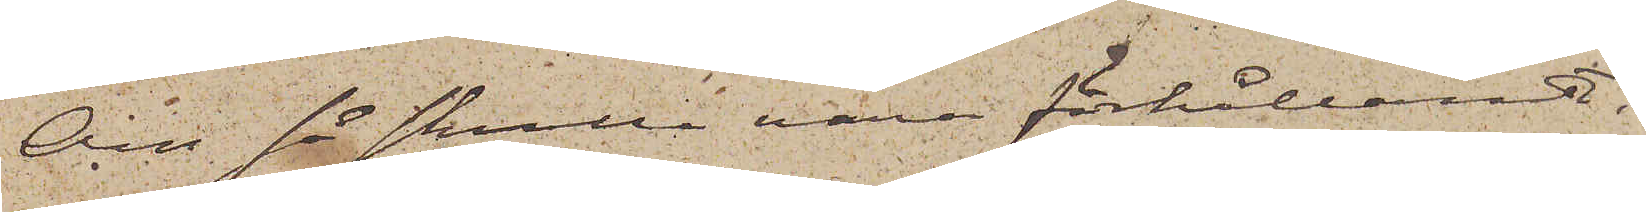Om så skulle vara förhållandet
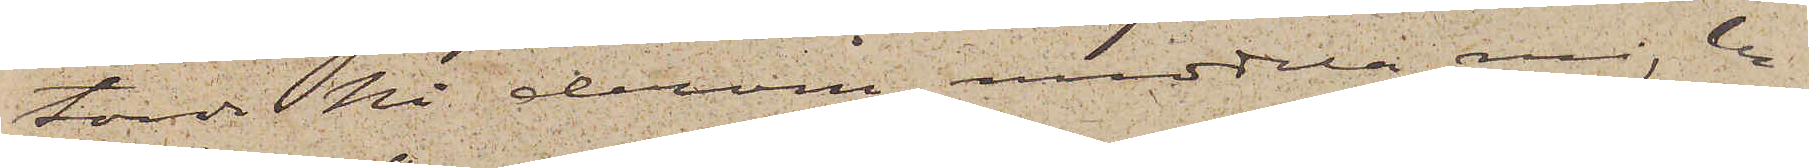torde Ni dervid meddela mig be¬
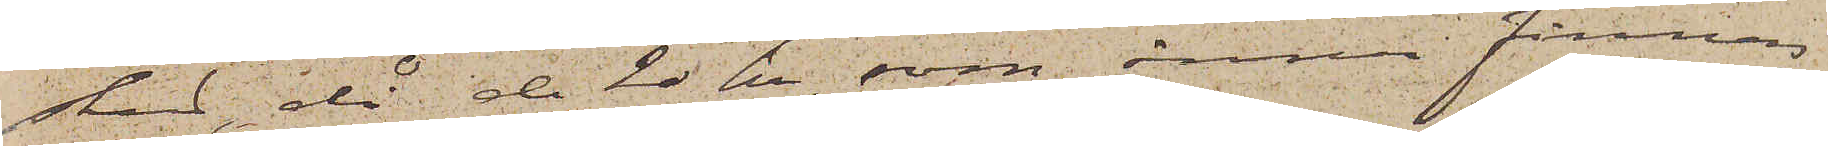sked, då de 20 kr, som ännu finnes
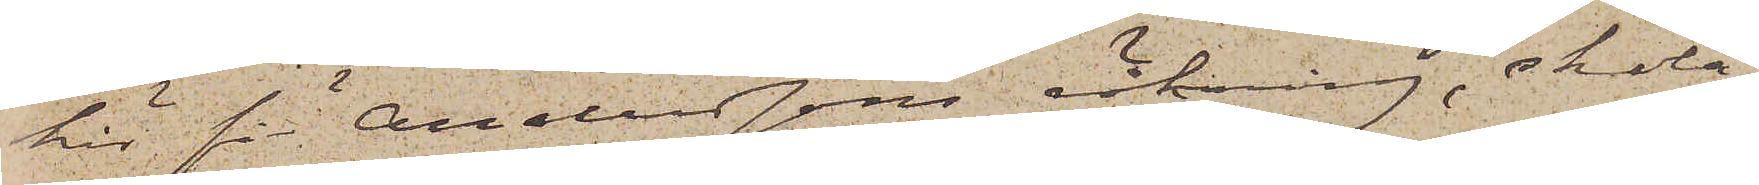här för Anderssons räkning, skola
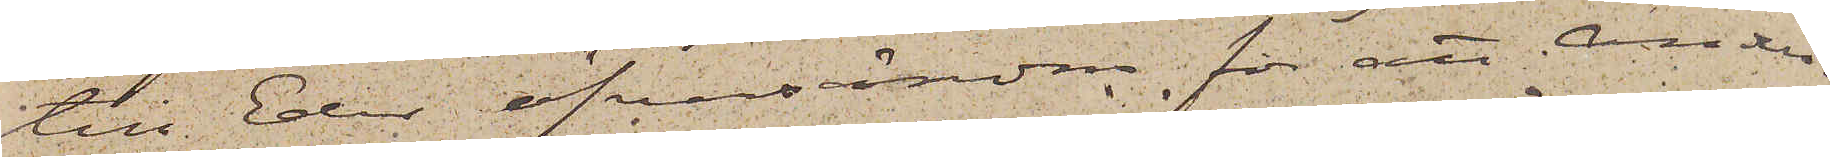till Eder öfversändas, för att Ander¬
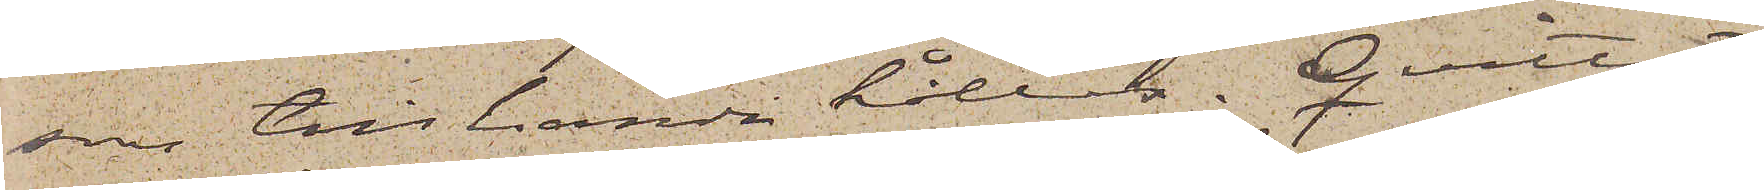son till handa hållas. Qvittot
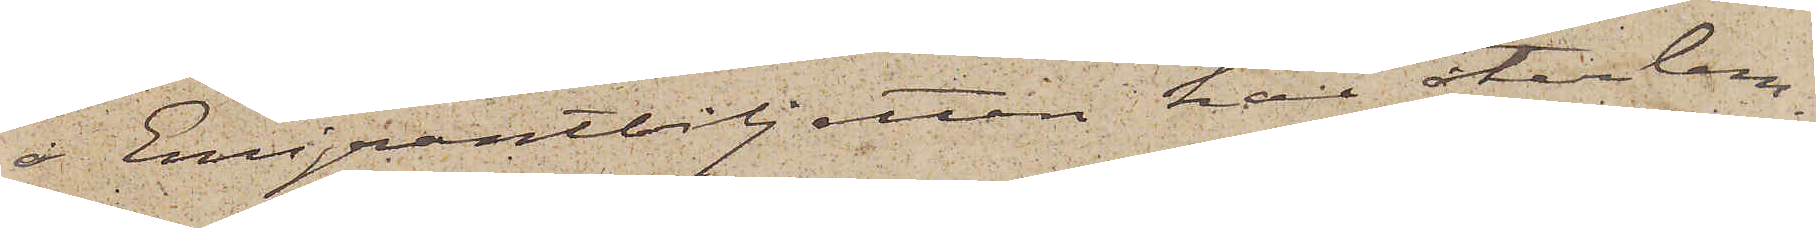å Amerikabiljetten har återlem¬
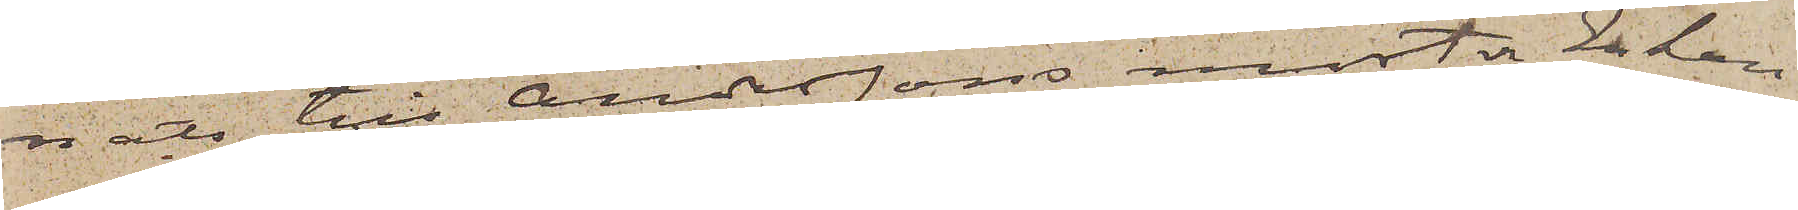nats till Anderssons moster Enkan
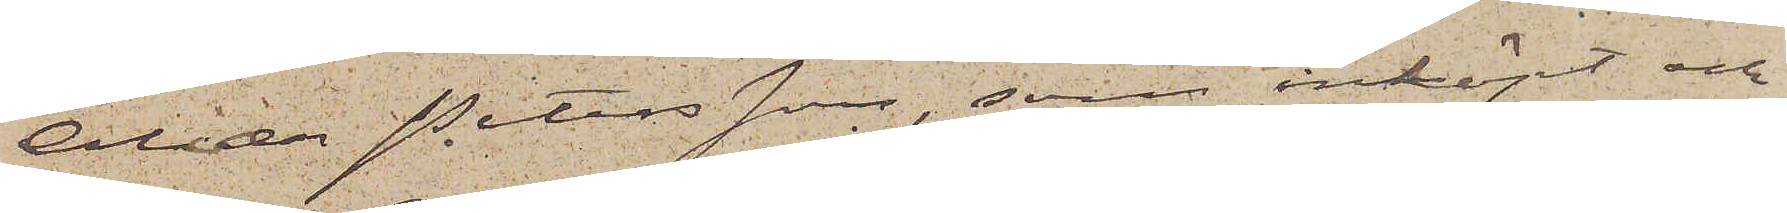Alida Petersson, som inköpt och
